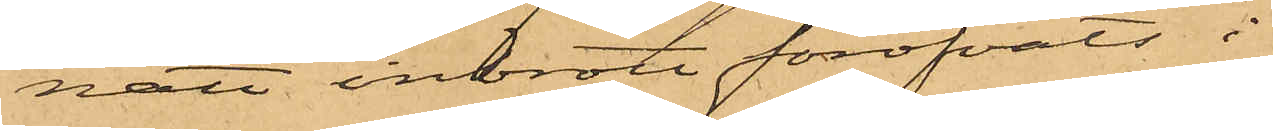natt inbrott föröfvats i
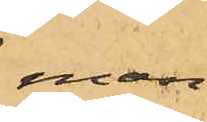man¬
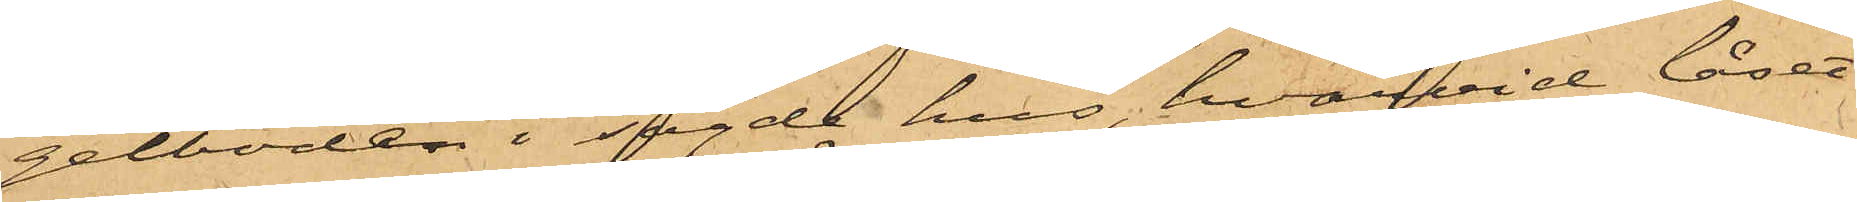gelboden i sagde hus, hvarvid låset
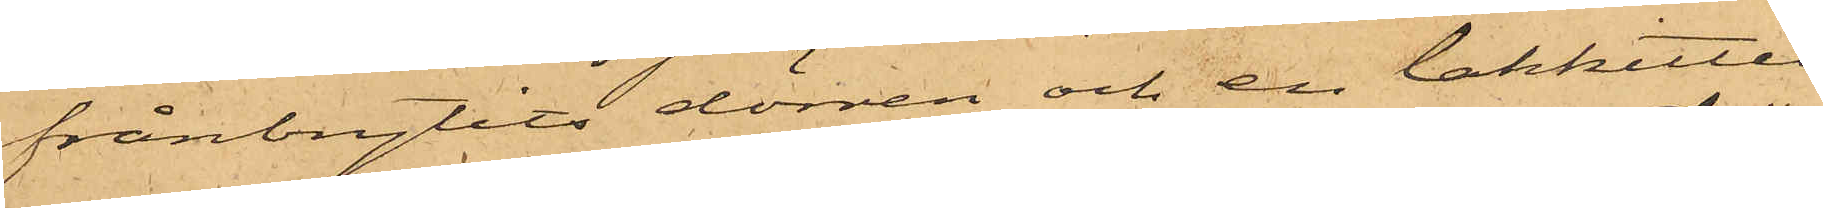frånbrytits dörren och en lakkittel
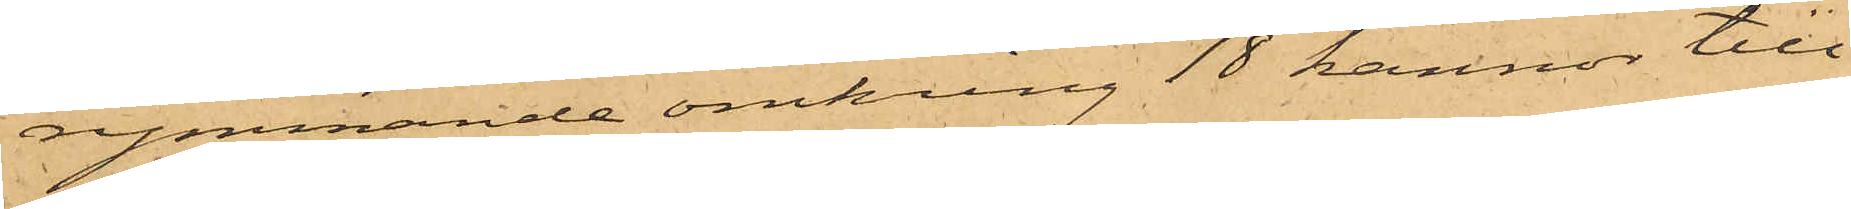rymmande omkring 18 kannor till¬
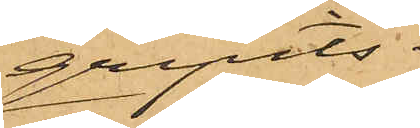gripits.
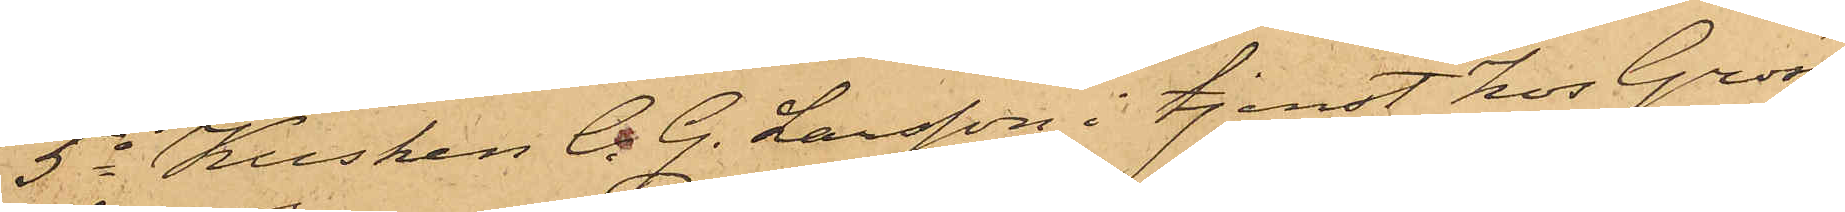5o Kusken C. G. Larsson i tjenst hos Gross¬
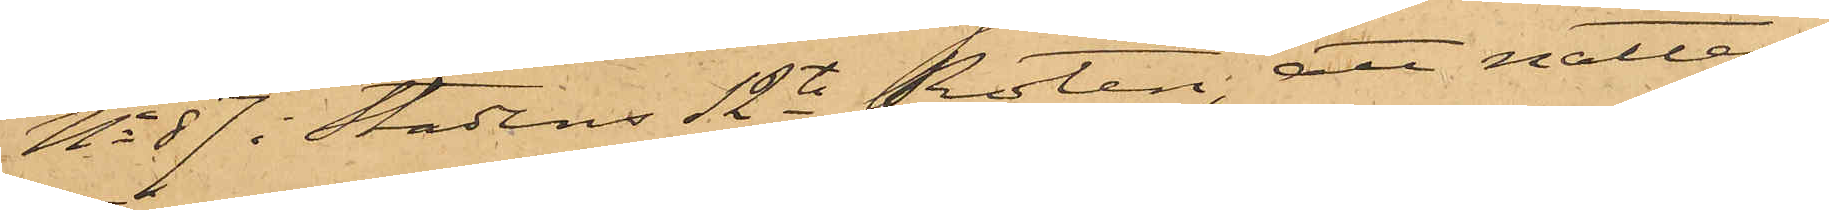No 87 i Stadens 12te Roten, att natten
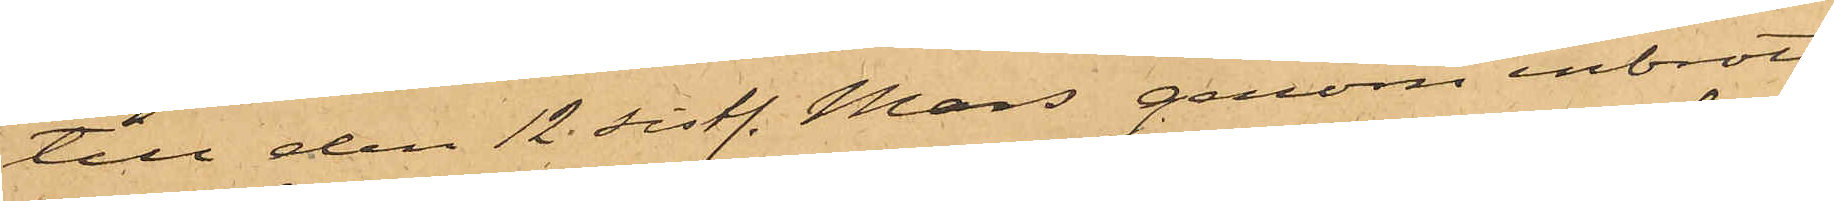till den 12 sistl. Mars genom inbrott
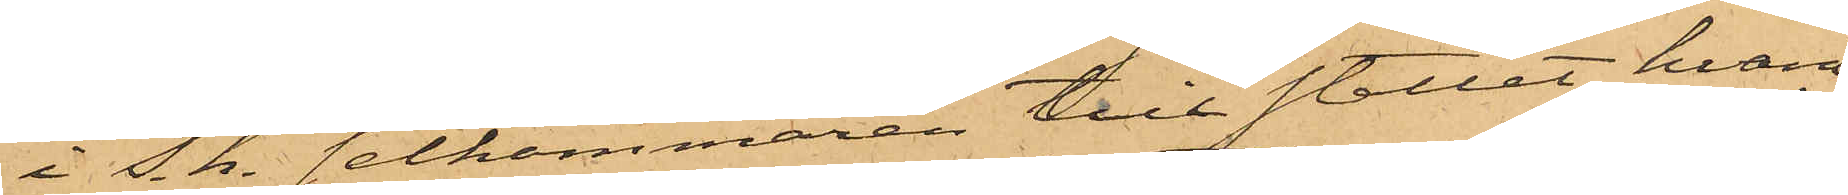i s. k. selkammaren till stallet, hvarå
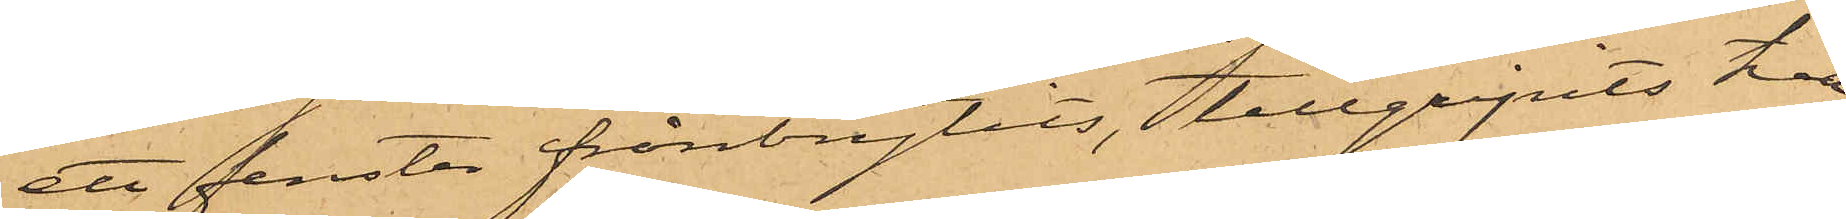ett fenster frånbrytits, tillgripits två
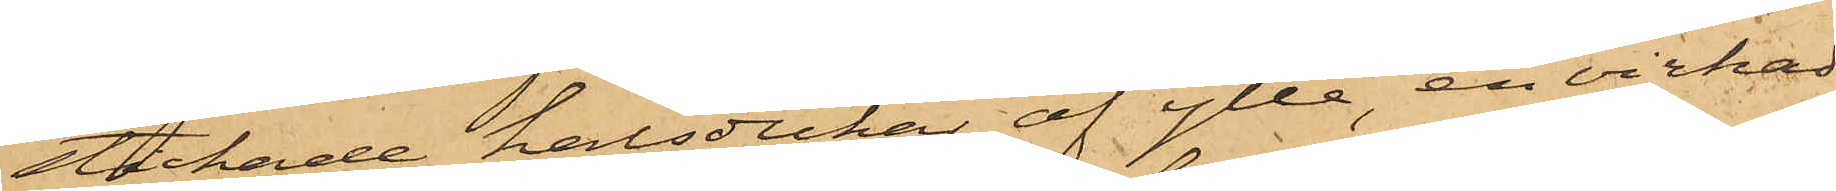stickade halsdukar af ylle, en virkad
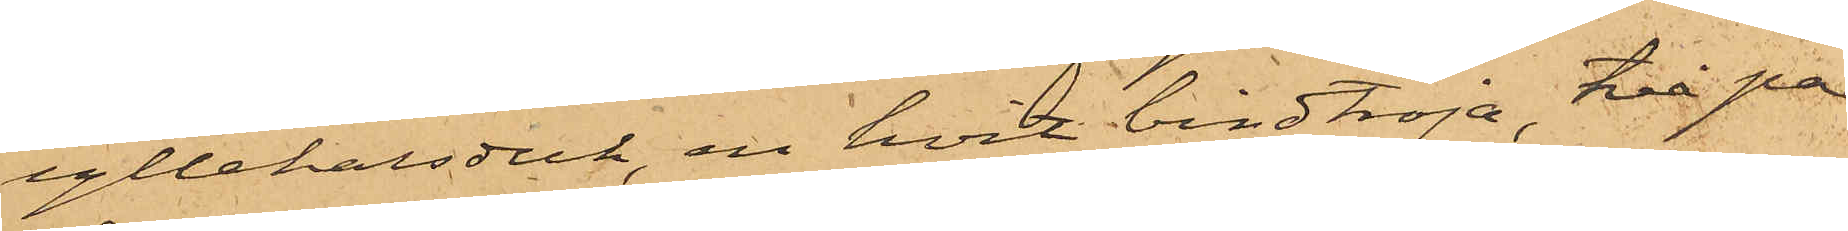yllehalsduk, en hvit bindtröja, två par
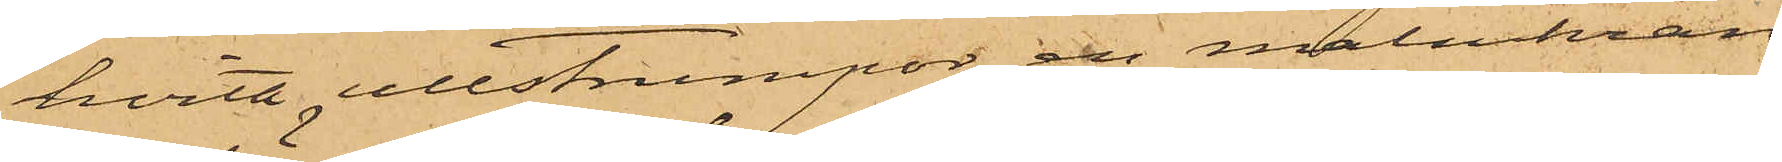hvita ullstrumpor, en malmkran,
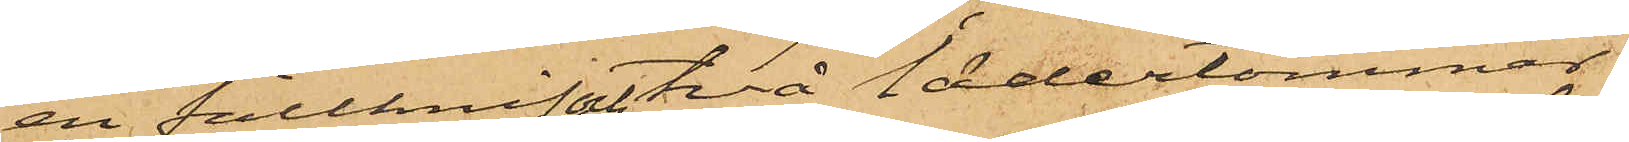en fällknif och två lädertömmar
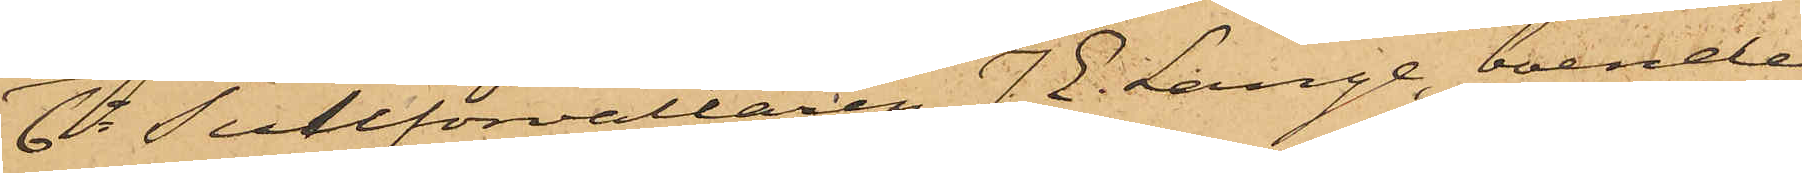6o Tullförvaltaren J. E. Lange, boende
